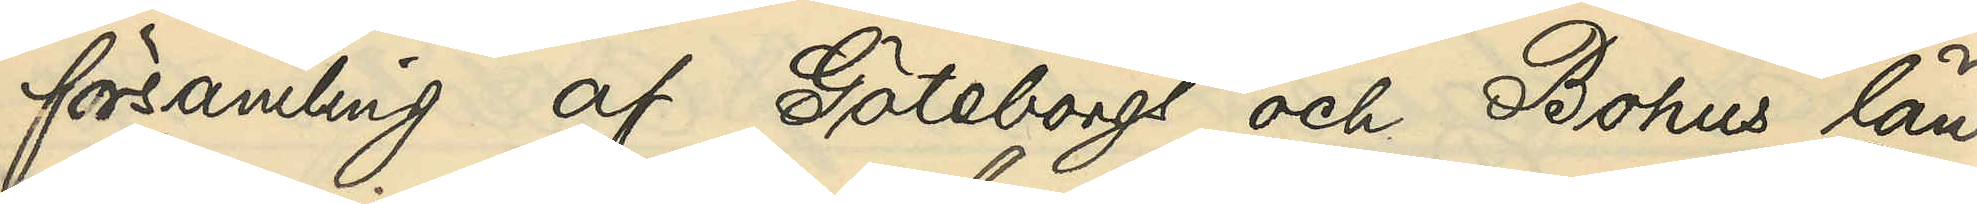församling af Göteborgs och Bohus län
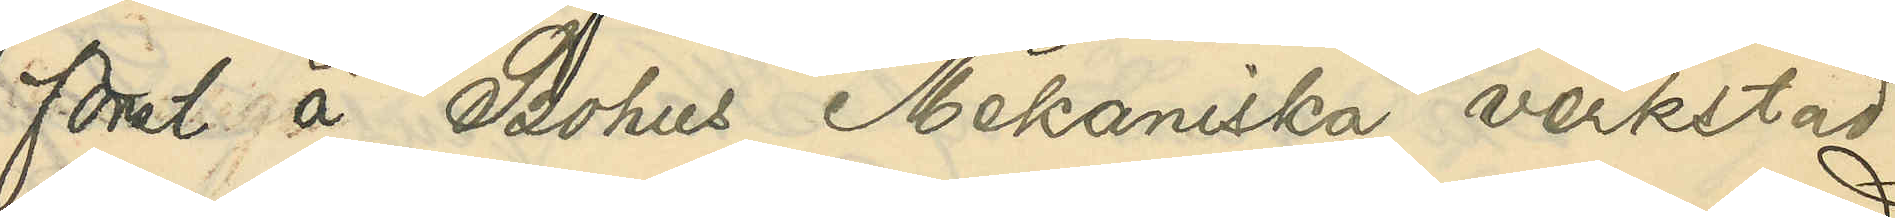först å Bohus Mekaniska verkstad
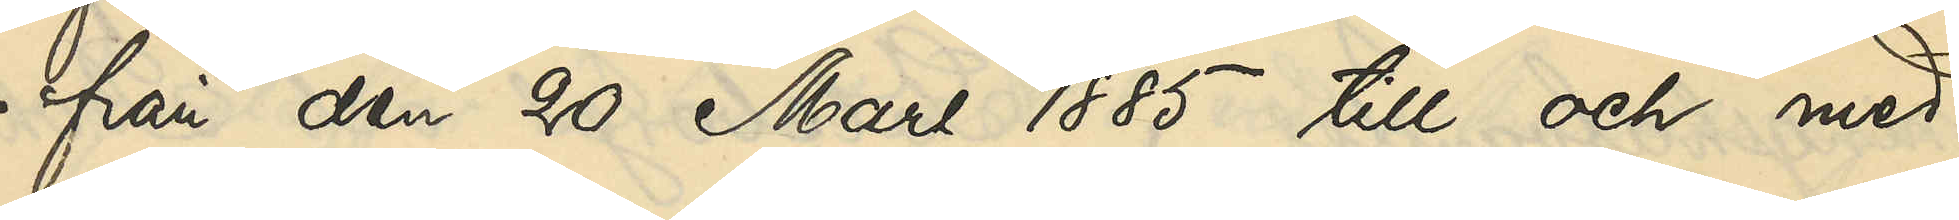- från den 20 Mars 1885 till och med
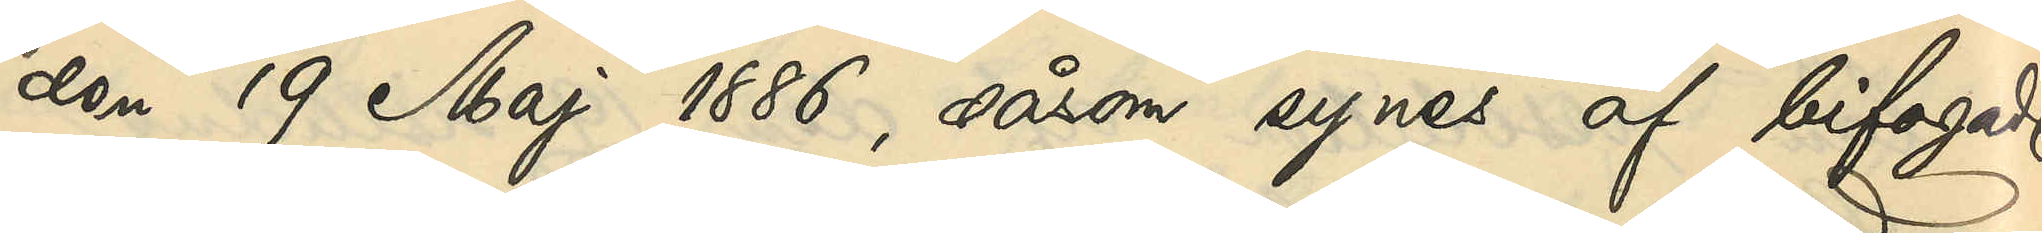den 19 Maj 1886, såsom synes af bifogade
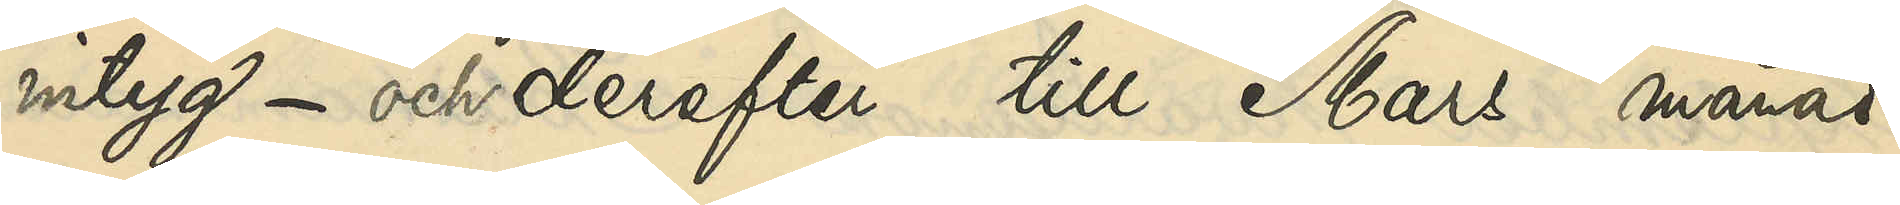intyg - och derefter till Mars månad
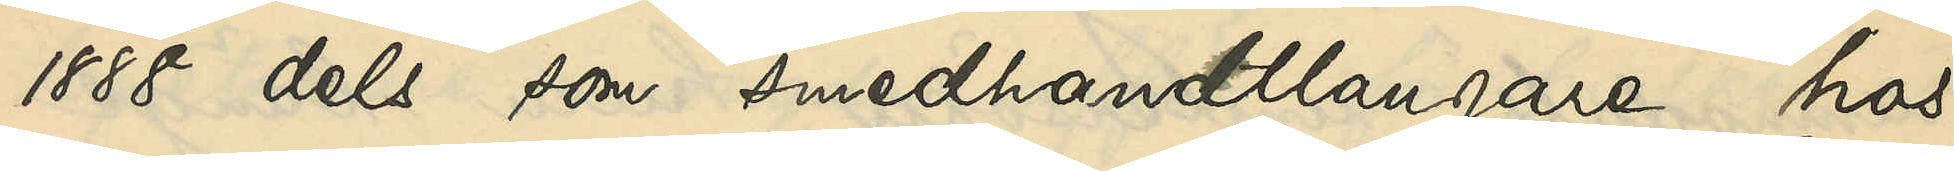1888 dels som smedshandtlangare hos
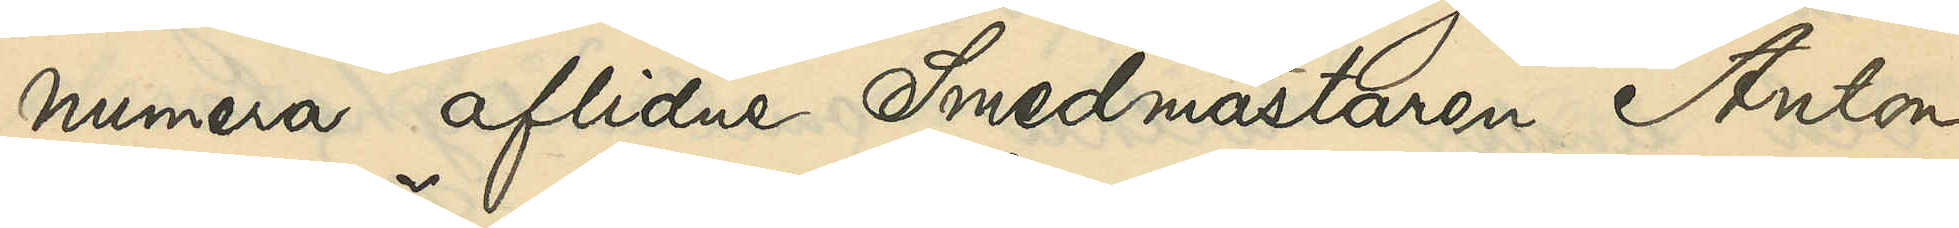numera aflidne Smedsmästaren Anton
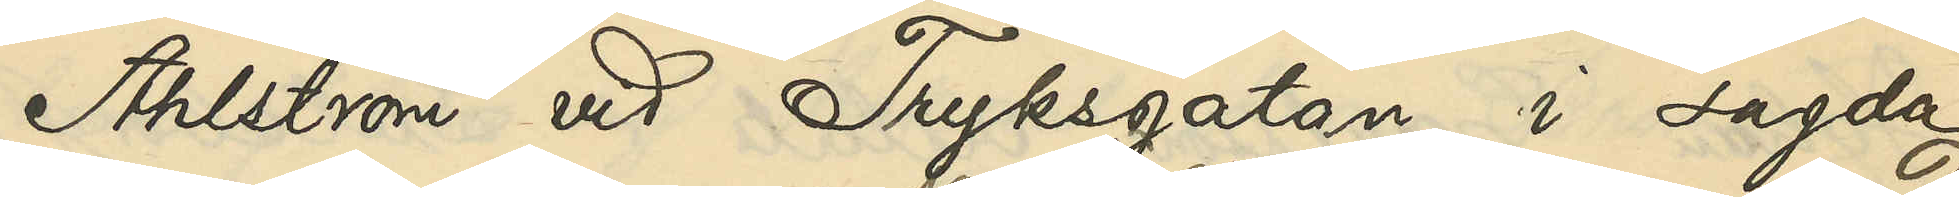Ahlström vid Trycksgatan i sagda
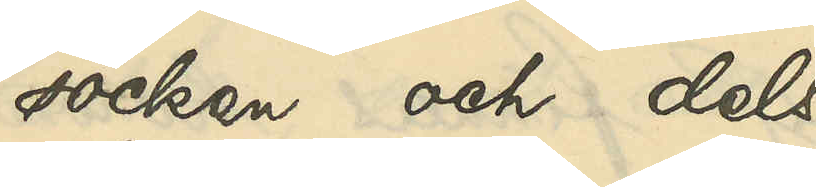socken och dels 
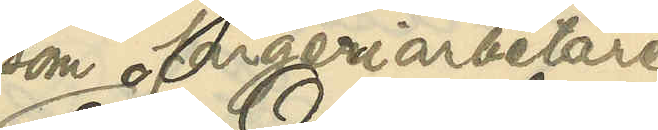som färgeriarbetare
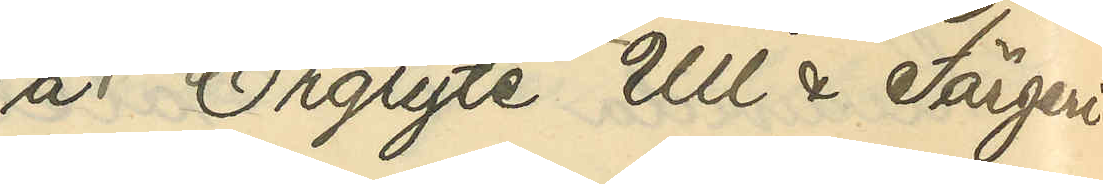å Örgryte Ull & Färgeri¬
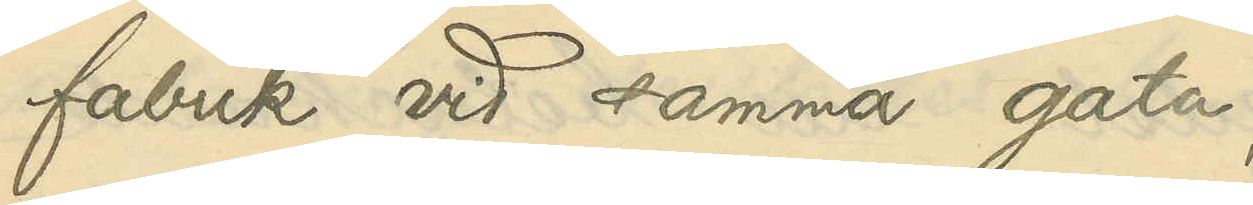fabrik vid samma gata;
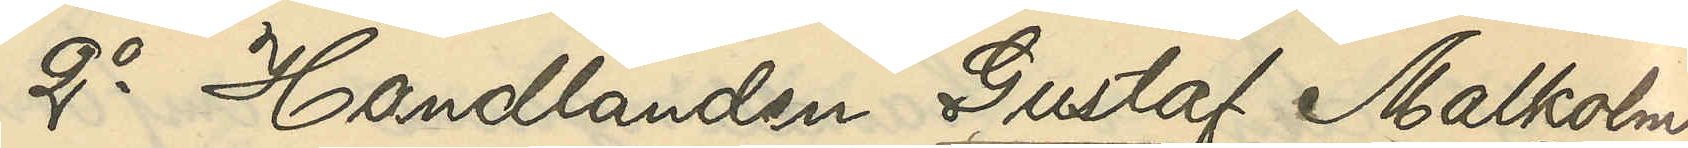2o Handlanden Gustaf Malkolm
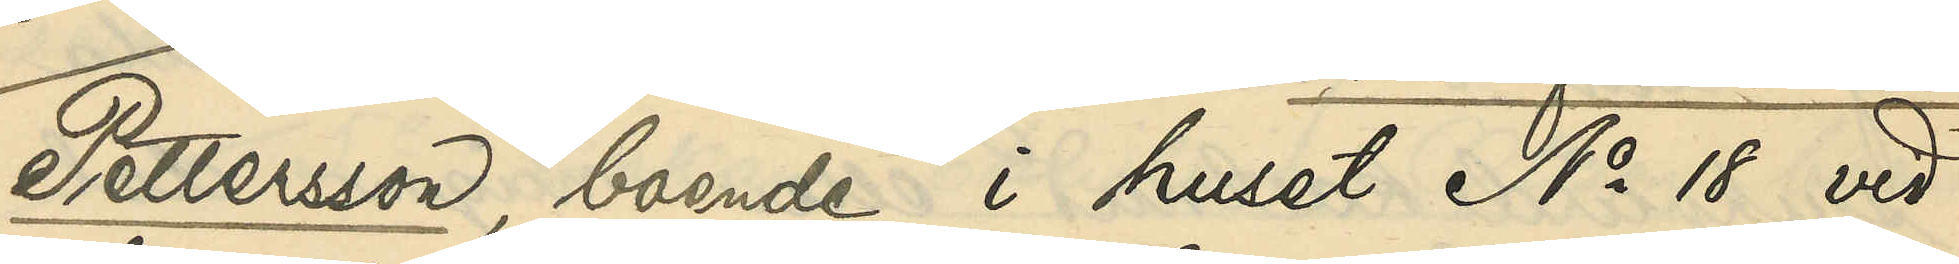Pettersson, boende i huset No 18 vid
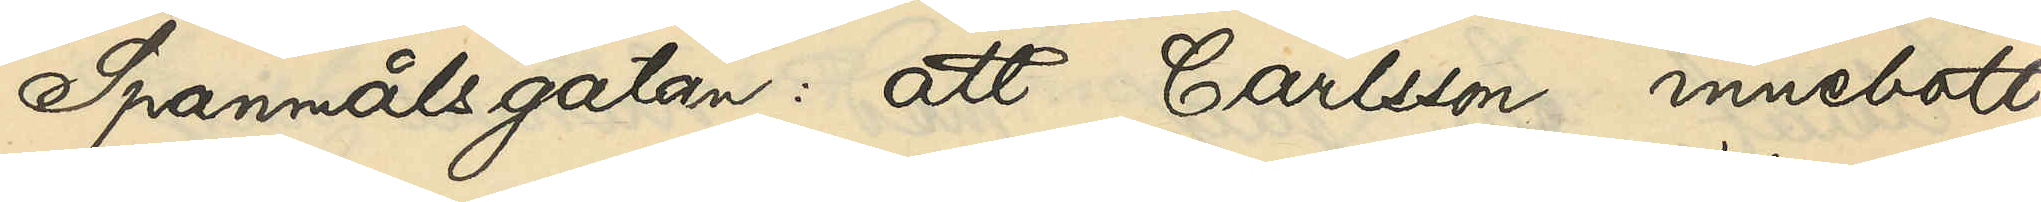Spannmålsgatan: att Carlsson innebott
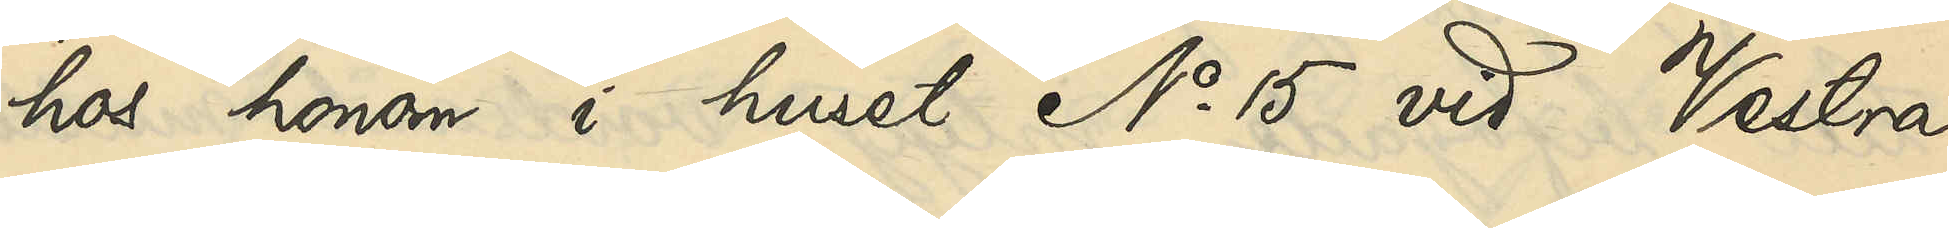hos honom i huset No 15 vid Vestra
